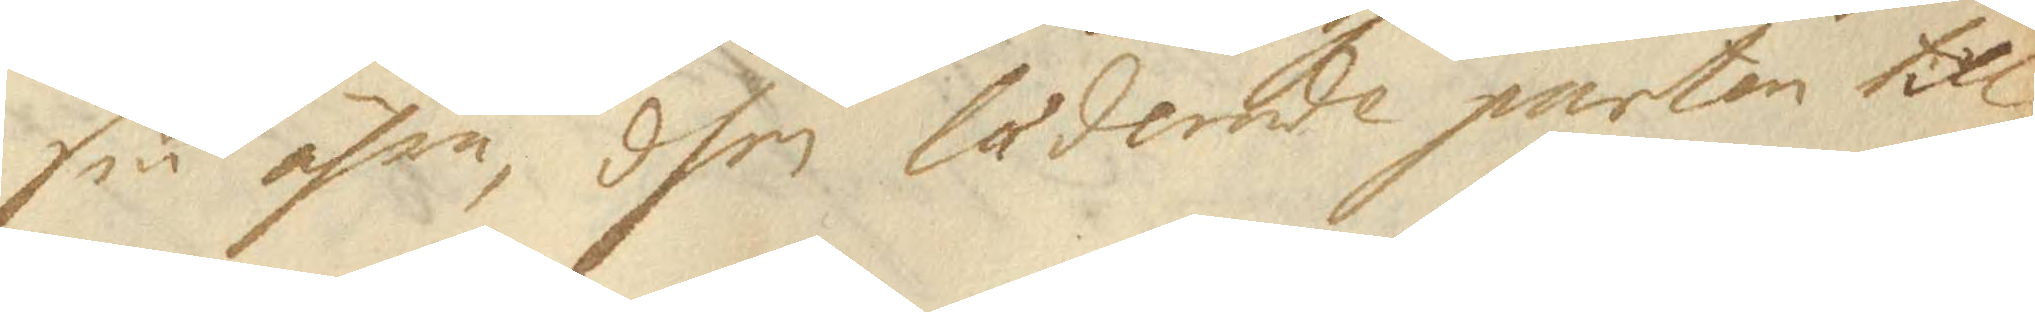sin ähre, dhen lademde parten till
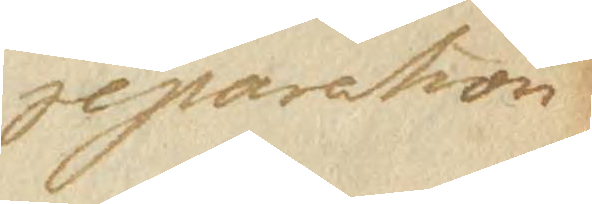reparation
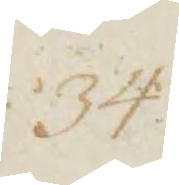34
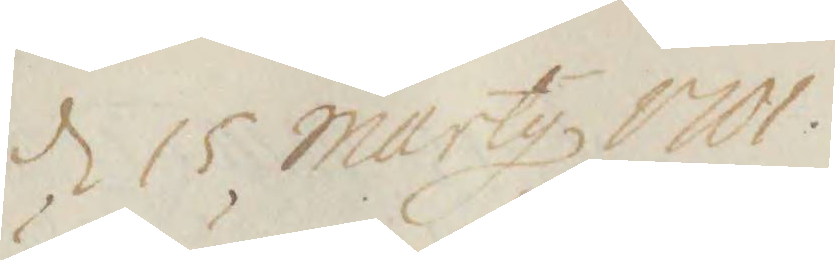d 15 marty 1701
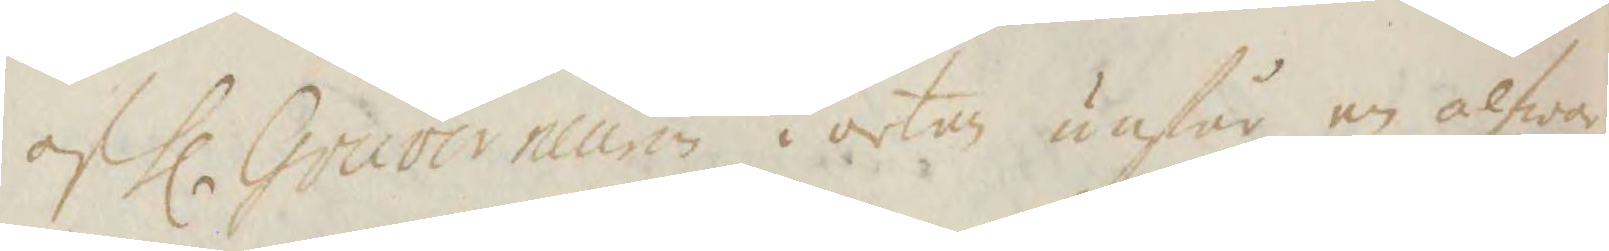oh hl Gouverneuren i orten änför en alfwa¬
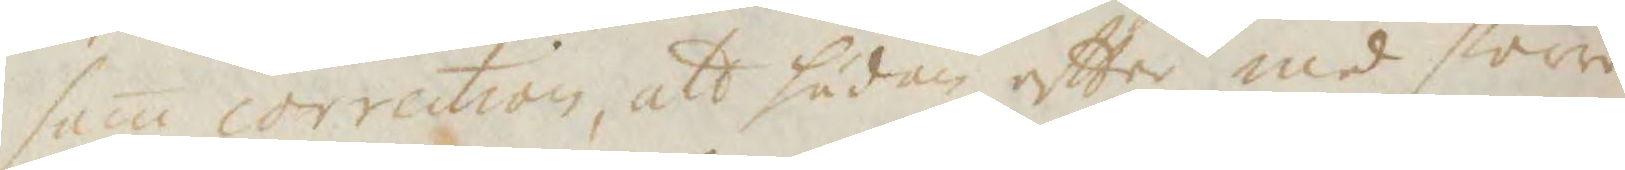sam correction, att sädan efter med större
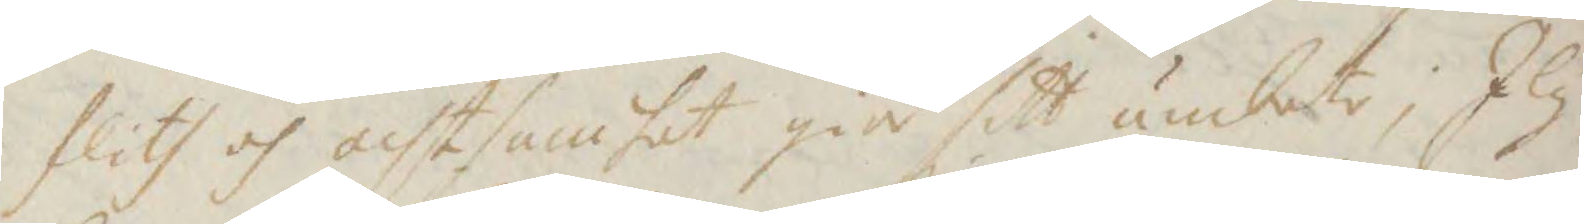flith oh achtsamhet giw sitt ämbete; I ly¬
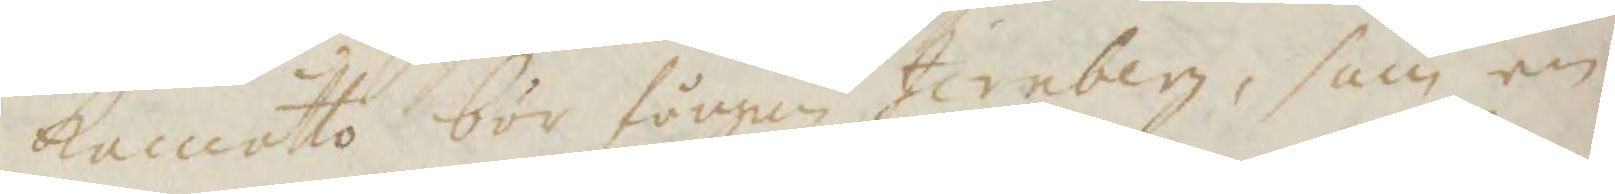kamotto bör fången Jernberg, som en
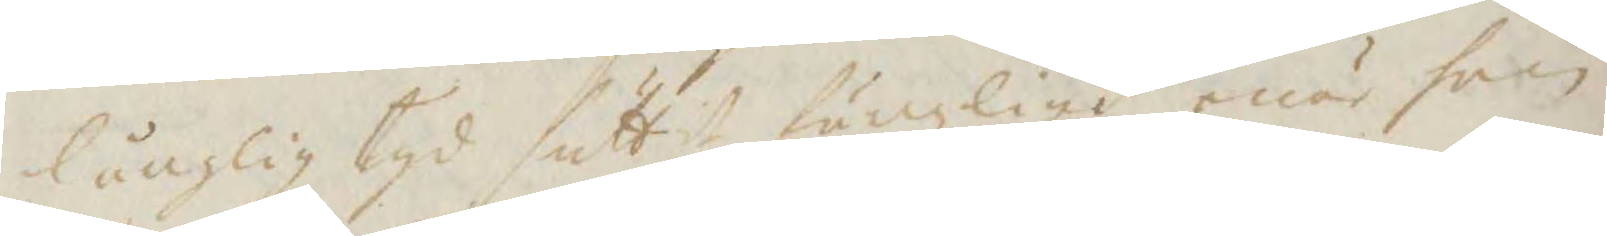långlig tyd suttit fängzligt, enär han
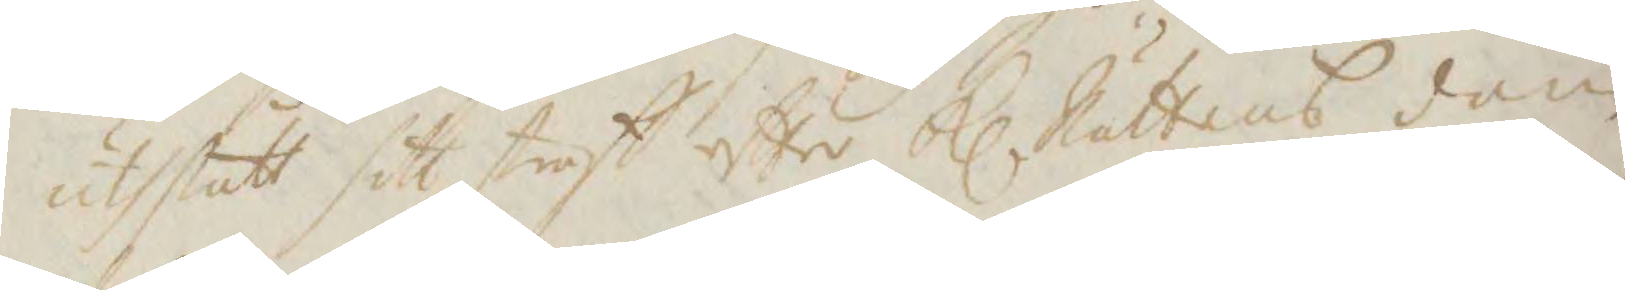uthstått sitt straff efter Kl Rättens dom
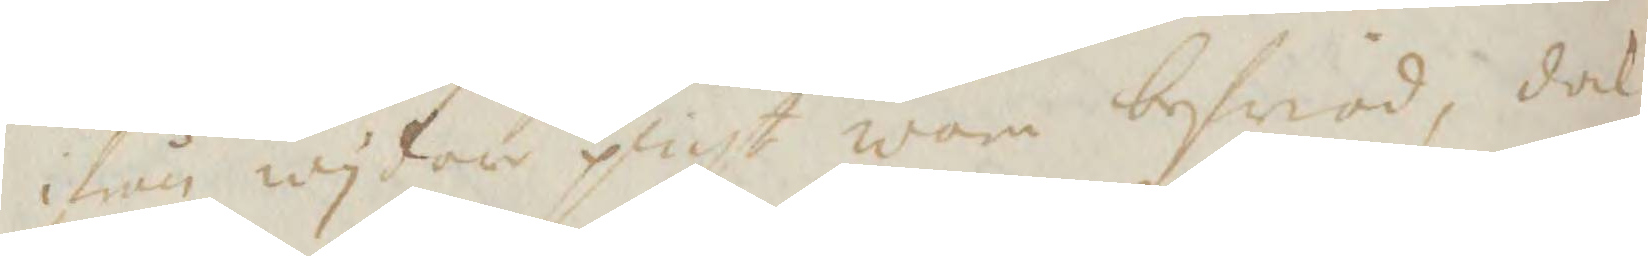ifrån wydare plicht wara befriad, dock
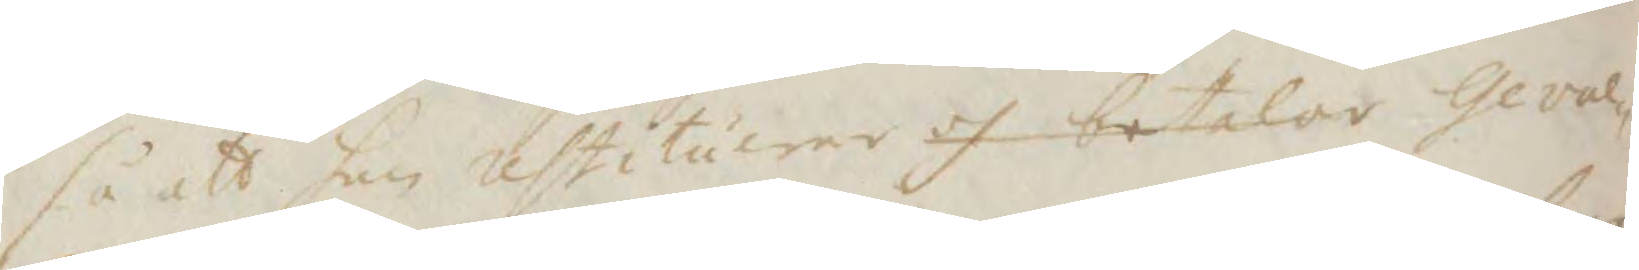så att han restituerar oh betalar geval¬
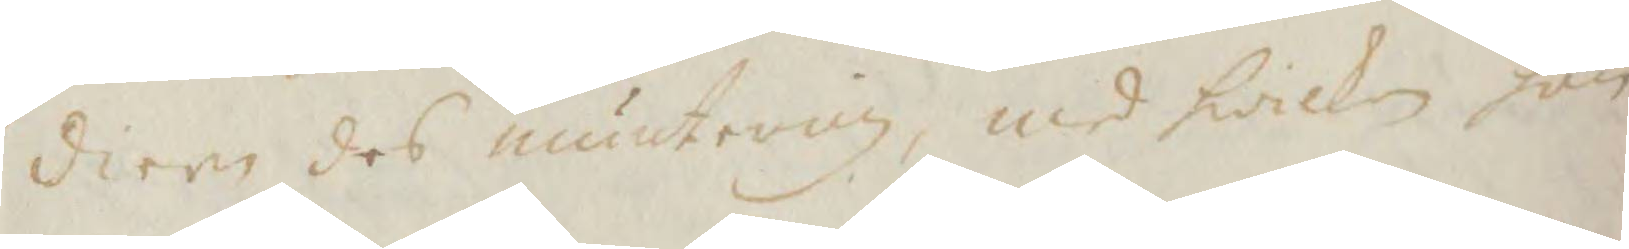diern des numtering, men kwilken han
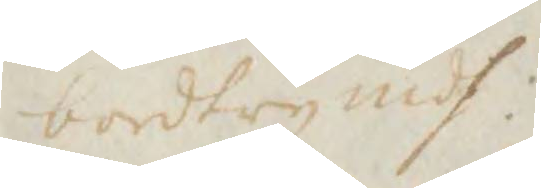bordtry medh.
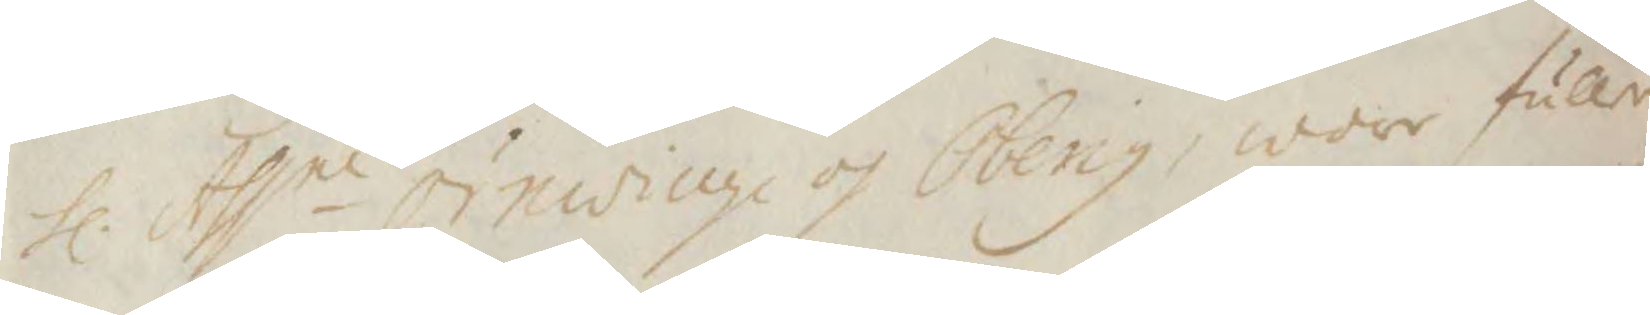Hl. Assne örnwinge och Oberg, wore fuller
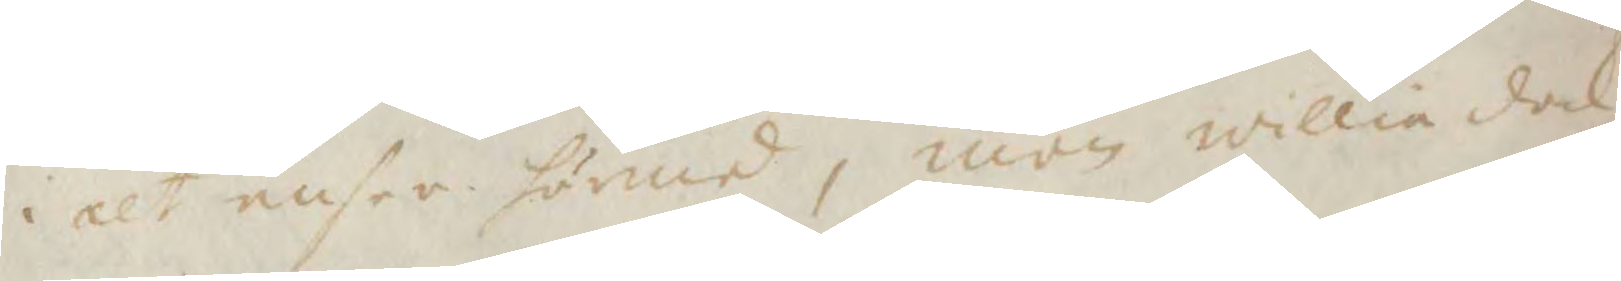i alt ensee härmed, men willia dock
